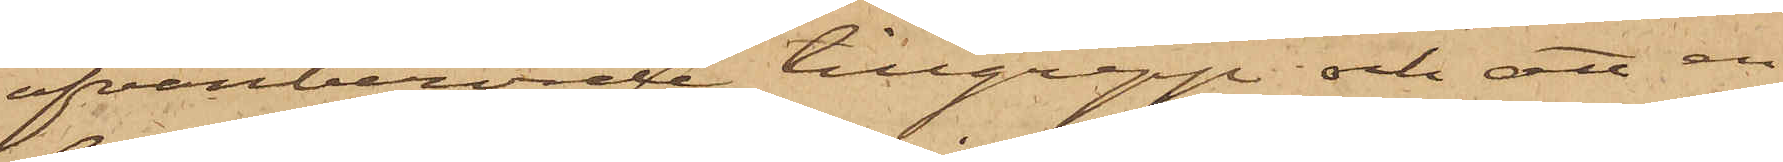ofvanberörde tillgrepp och att en
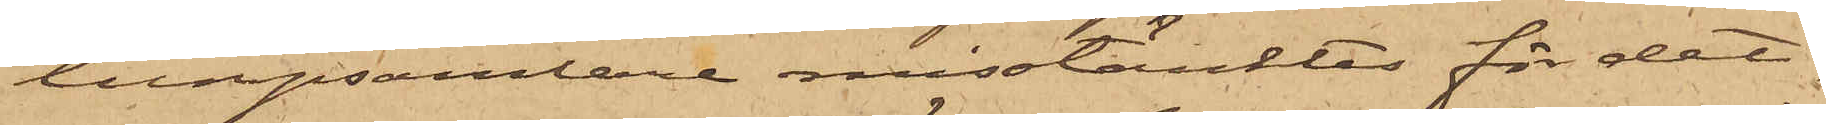lumpsamlare misstänktes för det¬
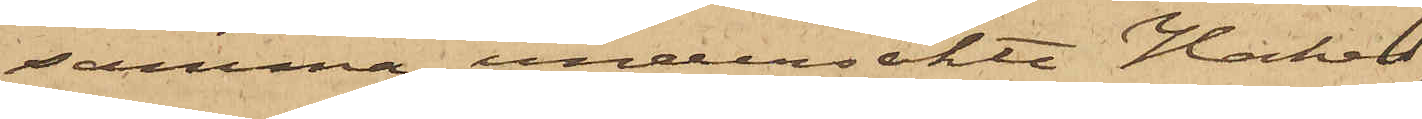samma, undersökte Hakes
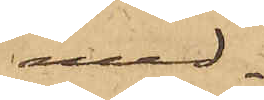med¬
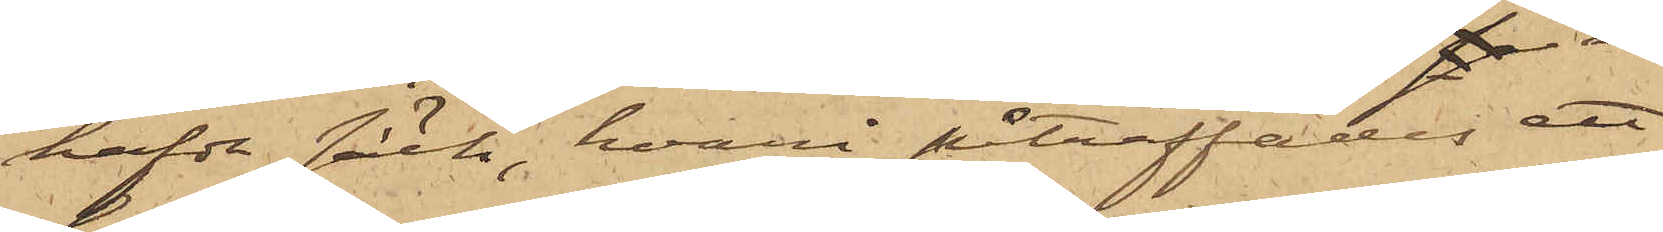hafde säck, hvari påträffats ett
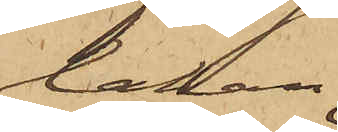lakan,
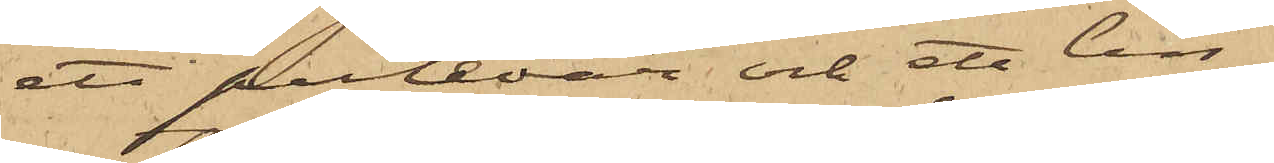ett putevar och ett lin¬
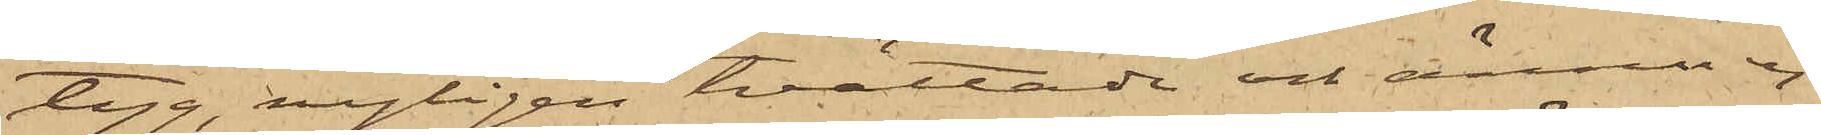tyg, nyligen tvättade och ännu ej
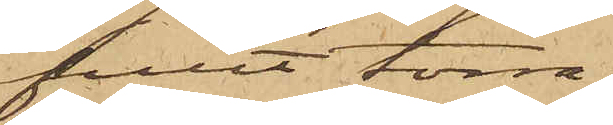fullt torra.
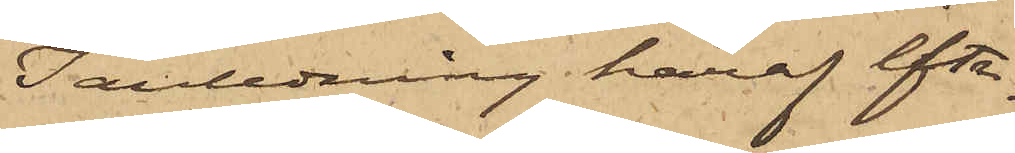I anledning häraf efter¬
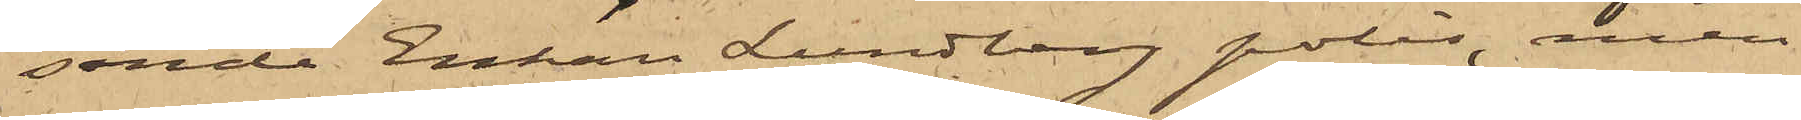sände Enkan Lundberg polis, men
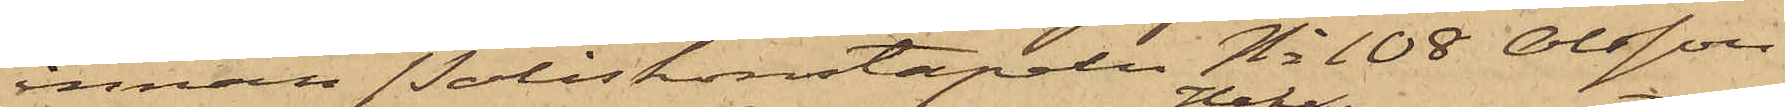innan Poliskonstapeln No 108 Olsson
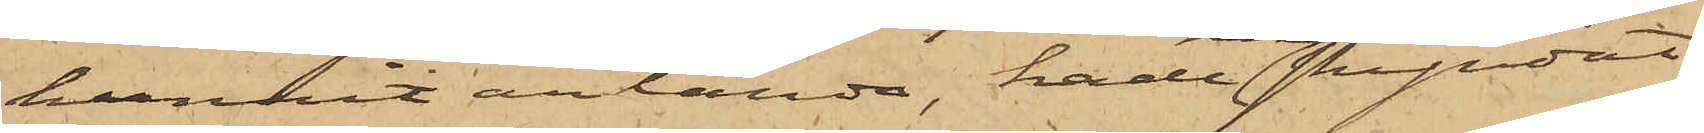hunnit anlända, hade Hake skyndat
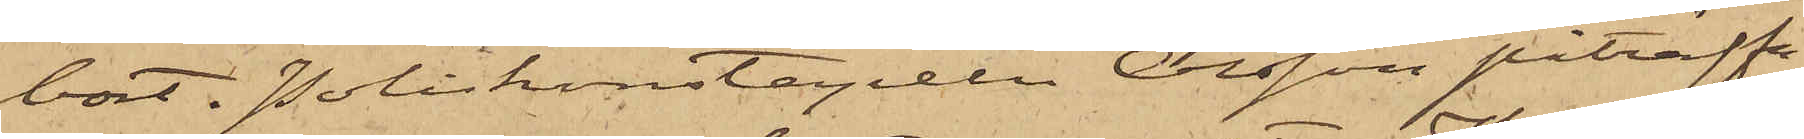bort. Poliskonstapeln Olsson påträffa¬
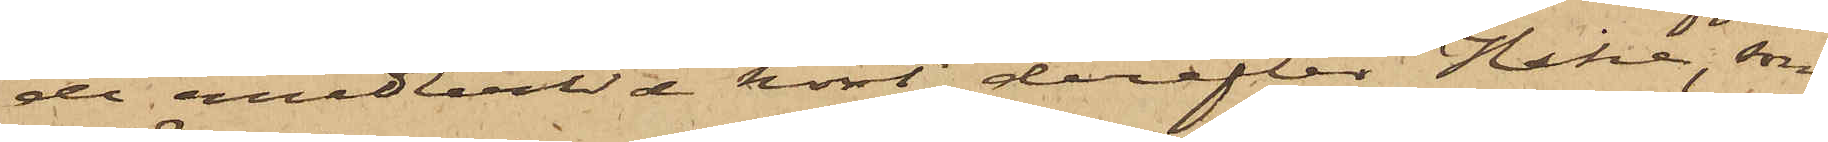de emedlertid kort derefter Hake, som
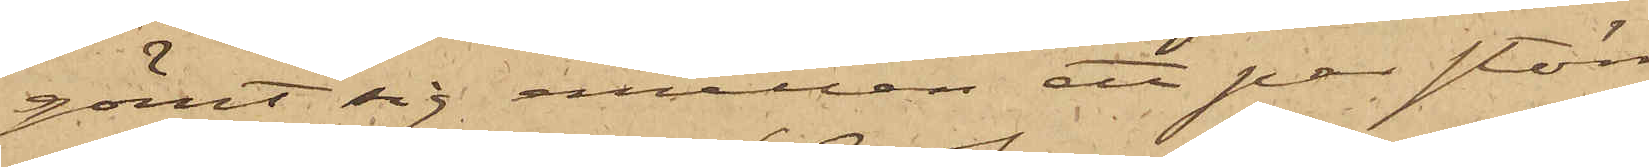gömt sig emellan ett par större
